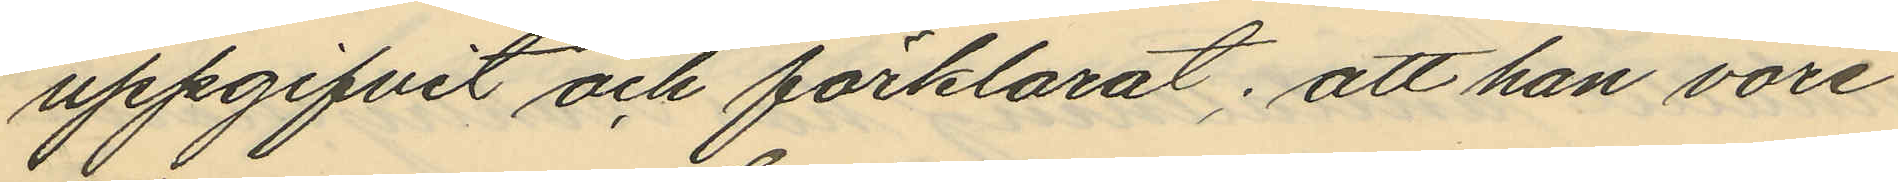uppgifvit och förklarat; att han vore
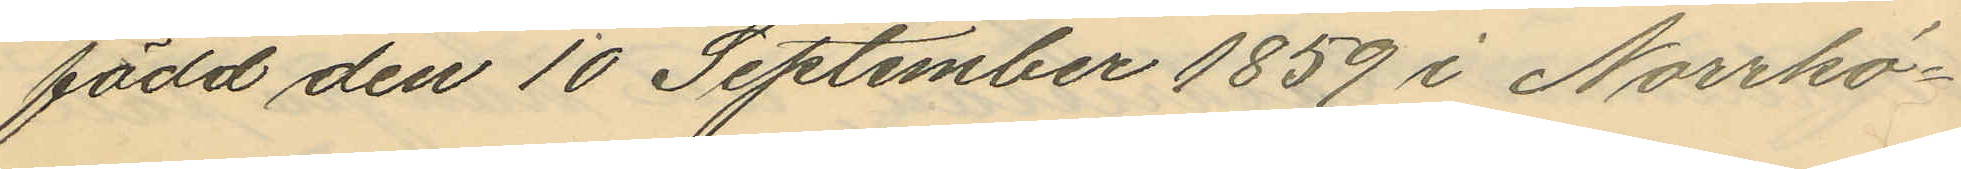född den 10 September 1859 i Norrkö¬
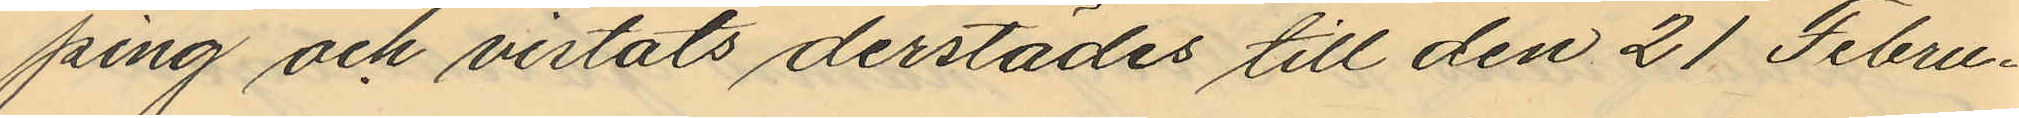ping och vistats derstädes till den 21 Febru¬
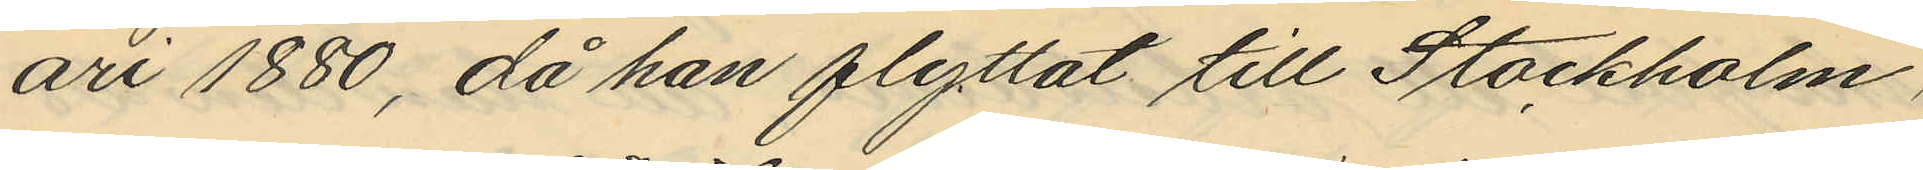ari 1880, då han flyttat till Stockholm,
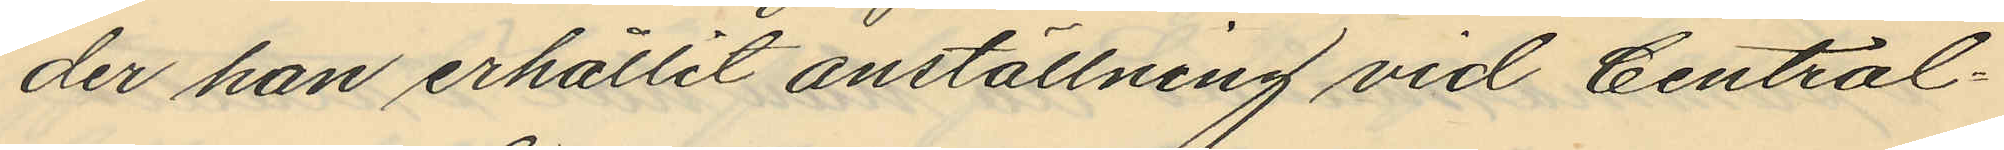der han erhållit anställning vid Central¬
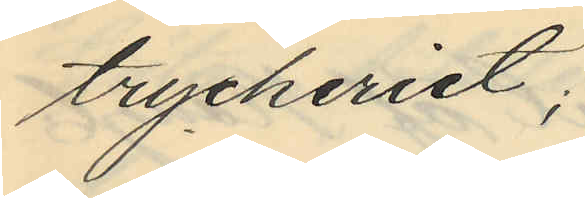tryckeriet;
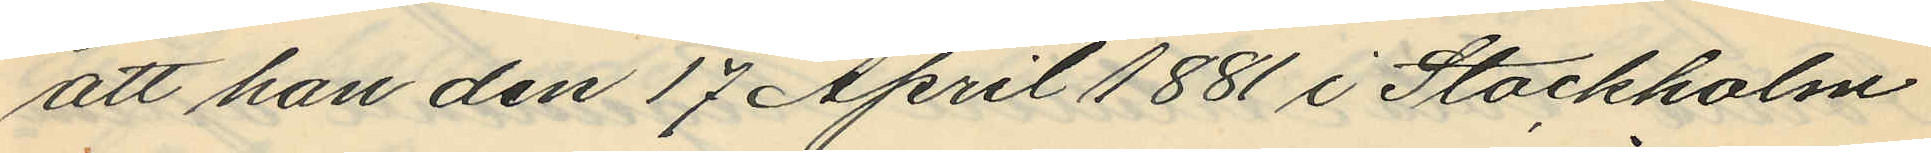att han den 17 April 1881 i Stockholm
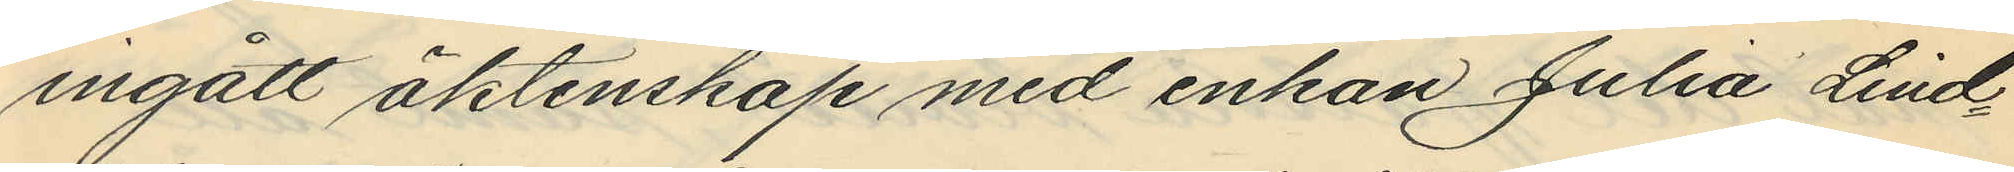ingått äktenskap med enkan Julia Lind¬
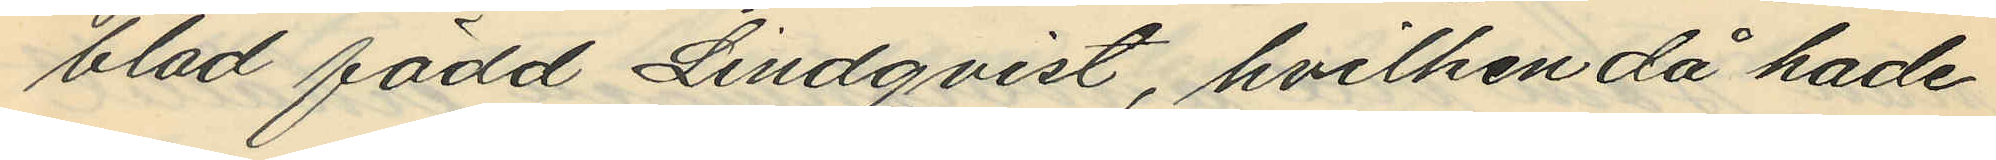blad född Lindqvist, hvilken då hade
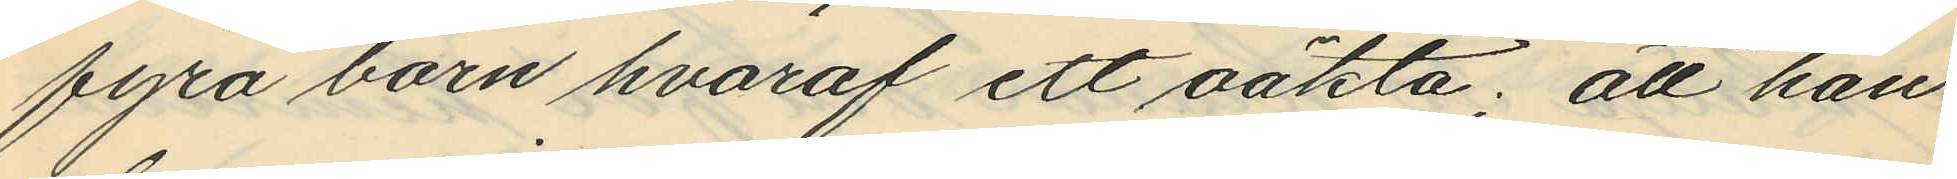fyra barn hvaraf ett oäkta; att han
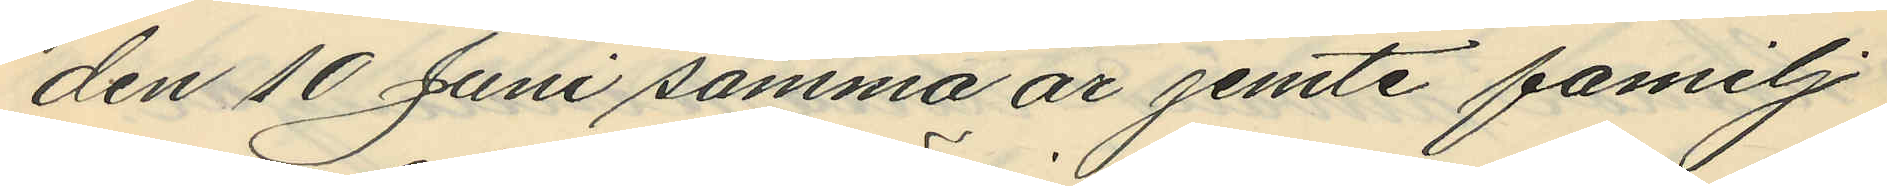den 10 Juni samma år jemte familj
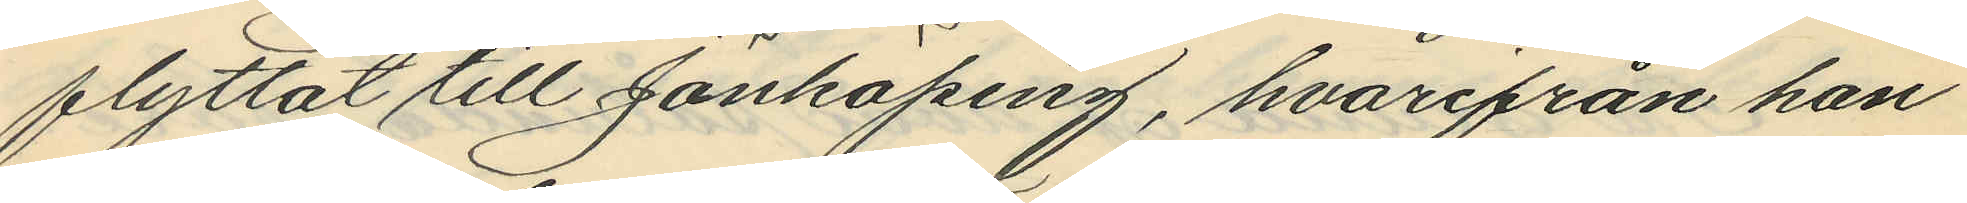flyttat till Jönköping, hvarifrån han
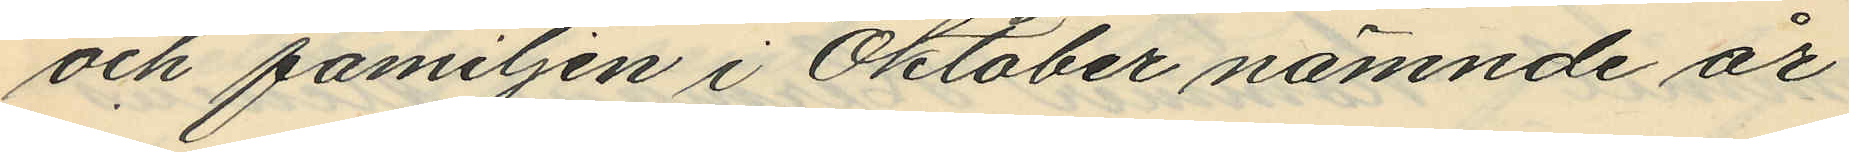och familjen i Oktober nämnde år
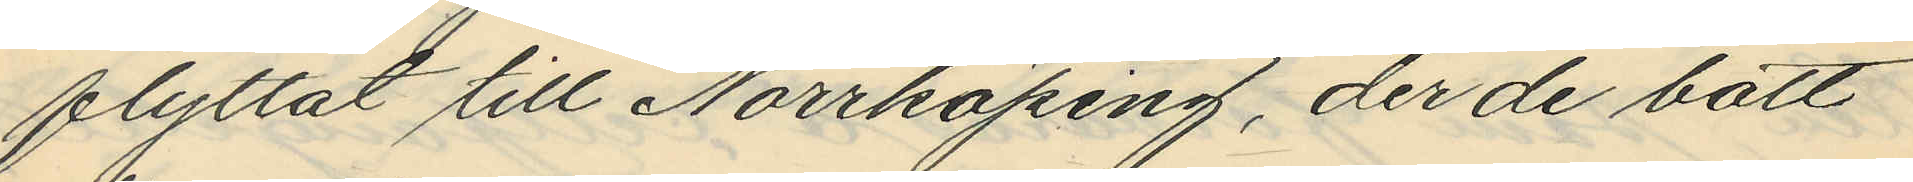flyttat till Norrköping, der de bott
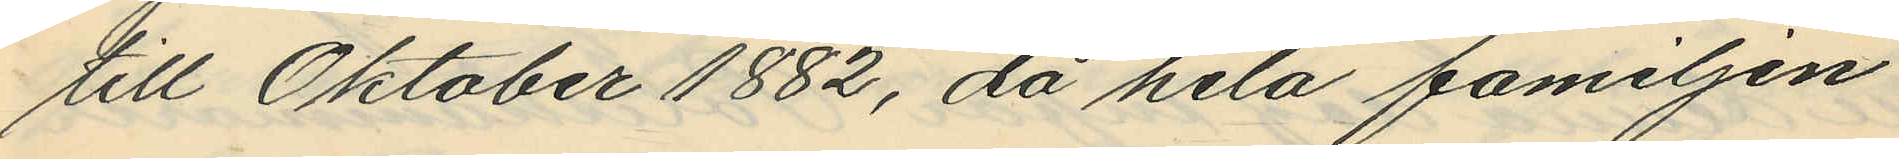till Oktober 1882, då hela familjen
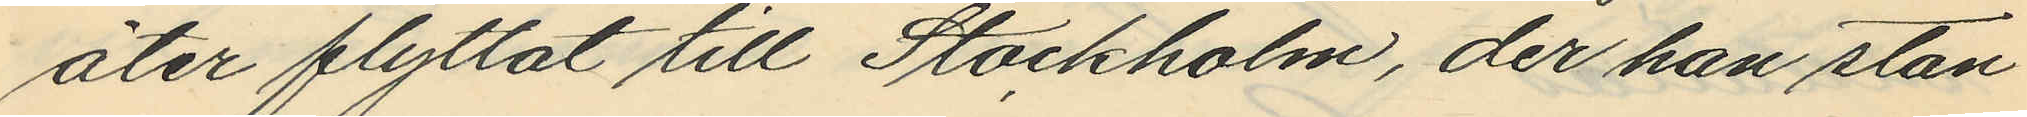åter flyttat till Stockholm, der han stan¬
